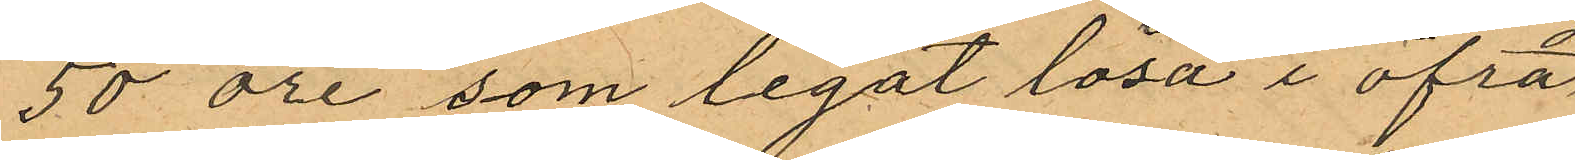50 öre som legat lösa i öfra
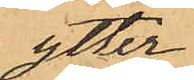ytter¬
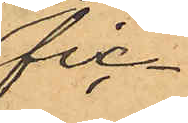fic¬
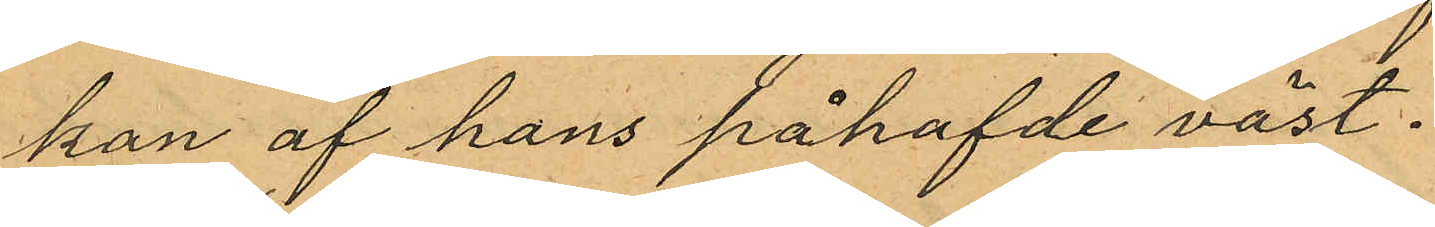kan af hans påhafvde väst.
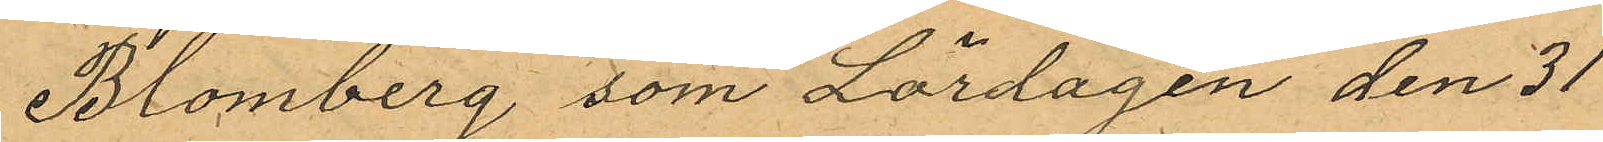Blomberg som Lördagen den 31
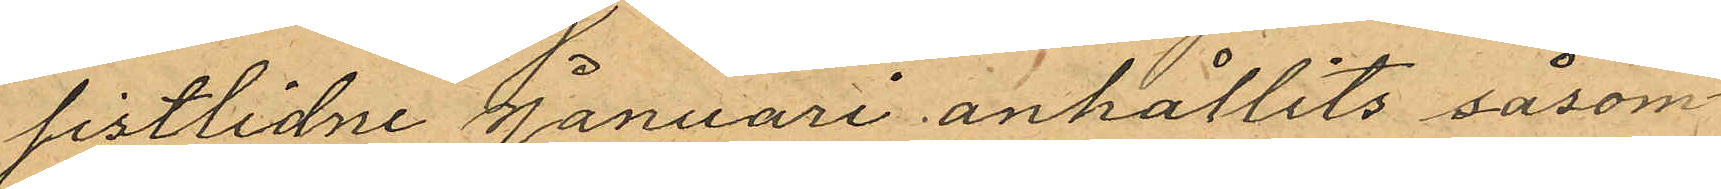sistlidne Januari anhållits såsom
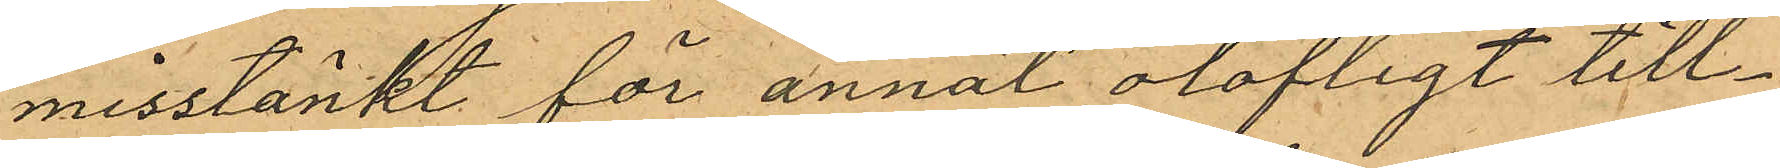misstänkt för annat olofligt till¬
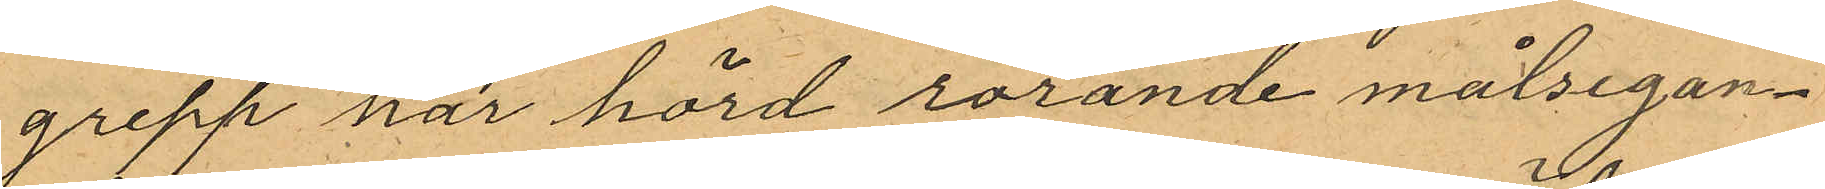grepp har hörd rorände målsegan¬
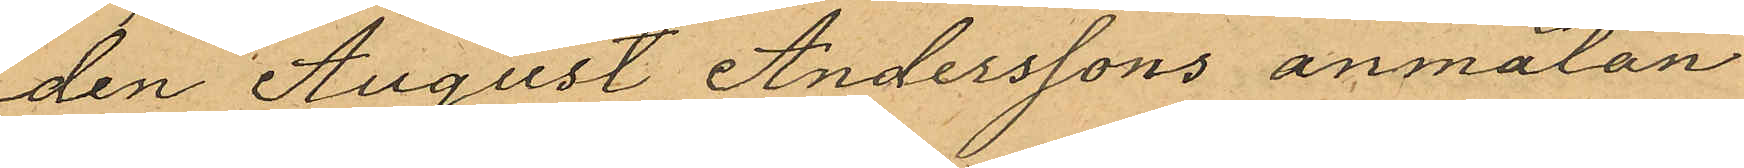den August Anderssons anmälan
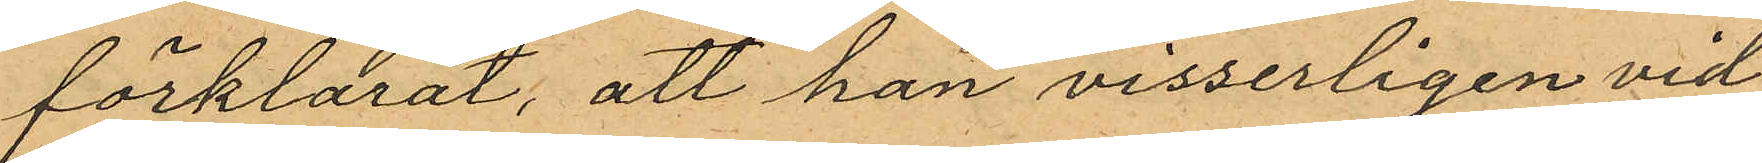förklarat, att han visserligen vid
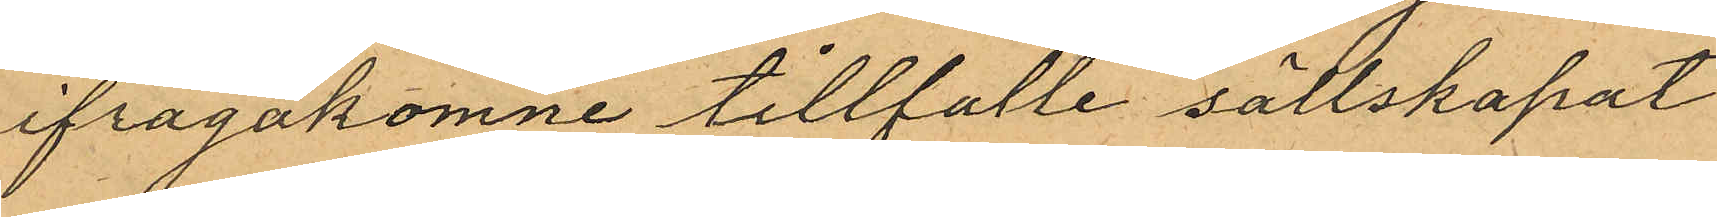ifrågakomne tillfälle sällskapat
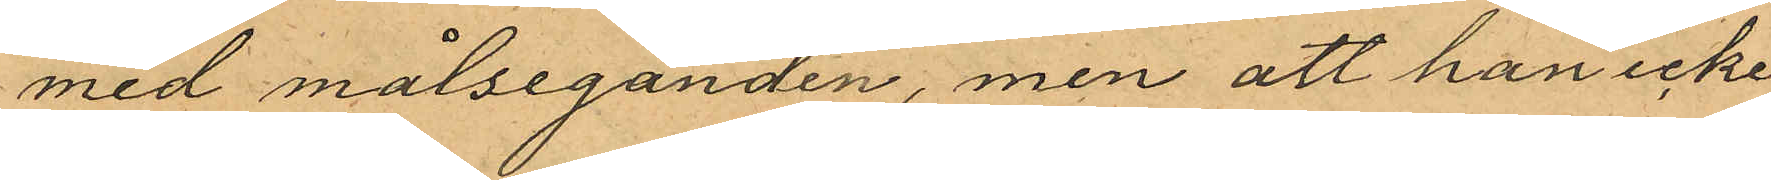med målseganden, men att han icke
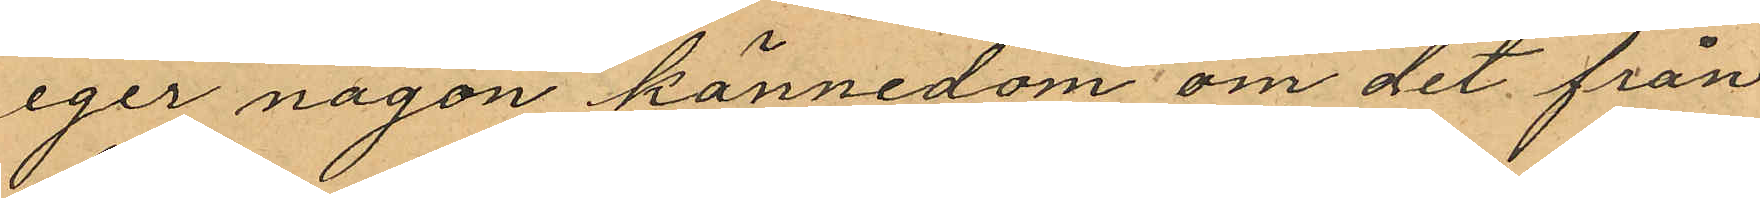eger någon kännedom om det från
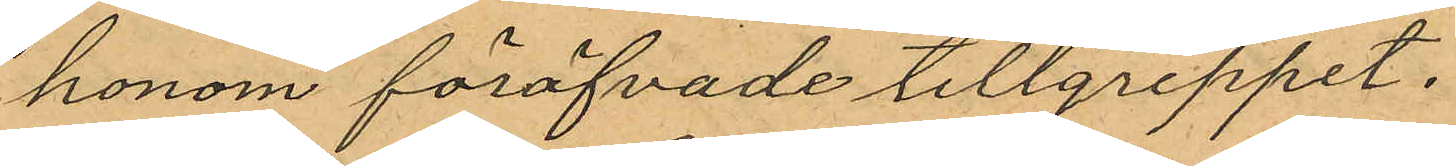honom föröfvade tillgreppet.
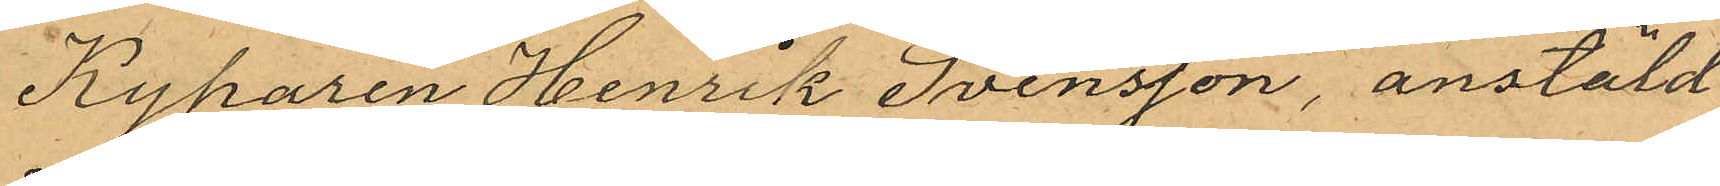Kyparen Henrik Svensson, anstäld
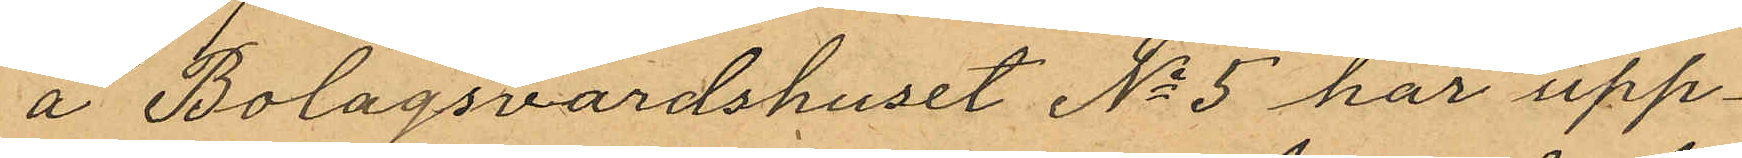å Bolagsvärdshuset No 5 har upp¬
